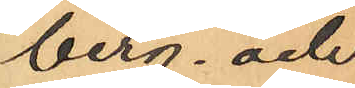berg och
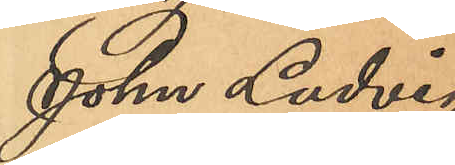Johan Ludvig
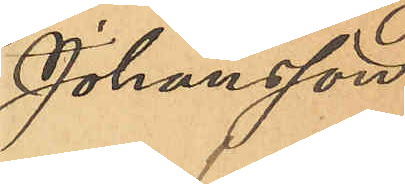Johansson
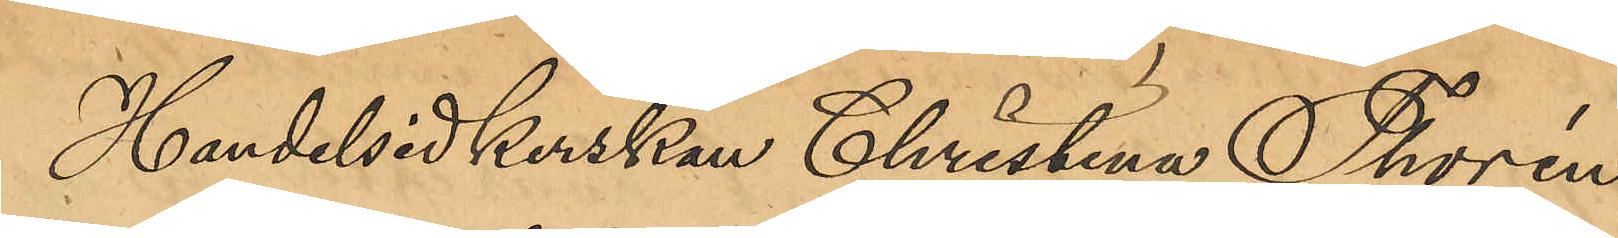Handelsidkerskan Christina Thorén,
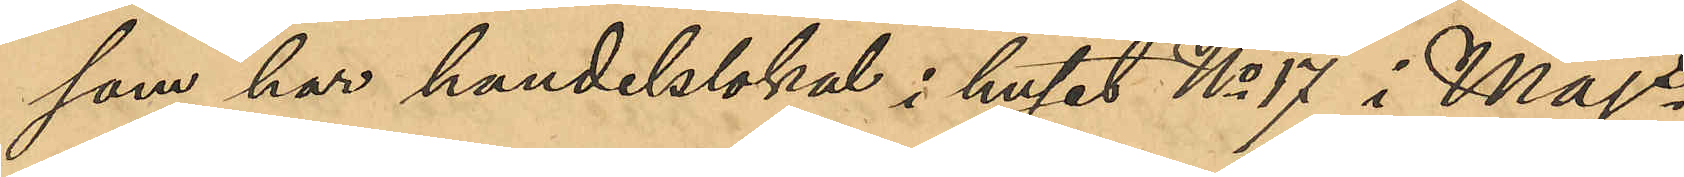som har handelslokal i huset No 17 i Majs
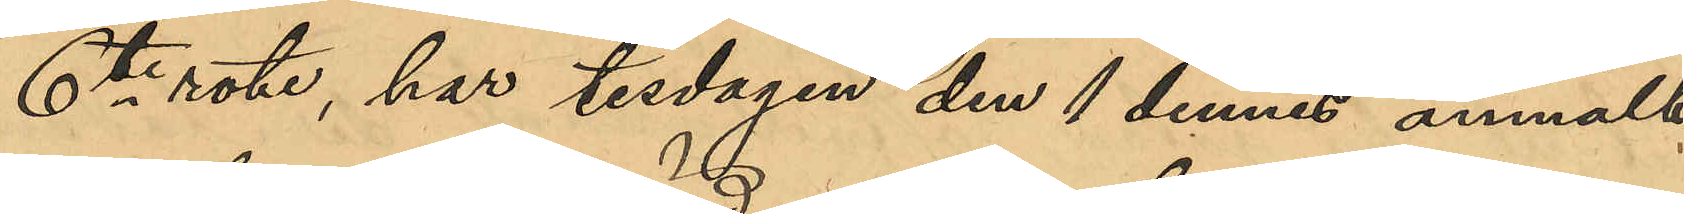6te rote, har tisdagen den 1 dennes anmält,
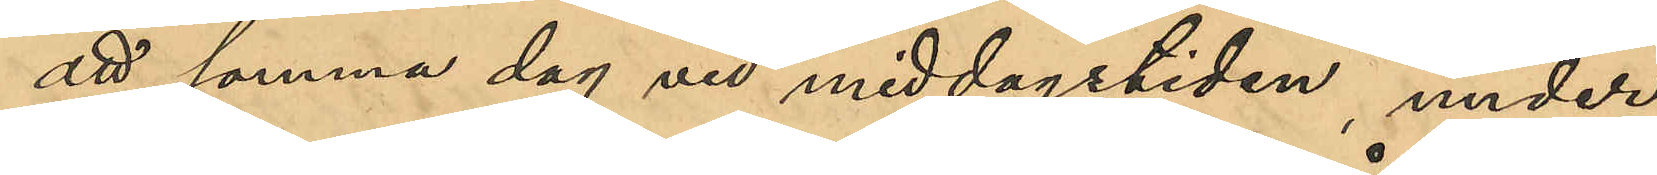att samma dag vid middagstiden, under
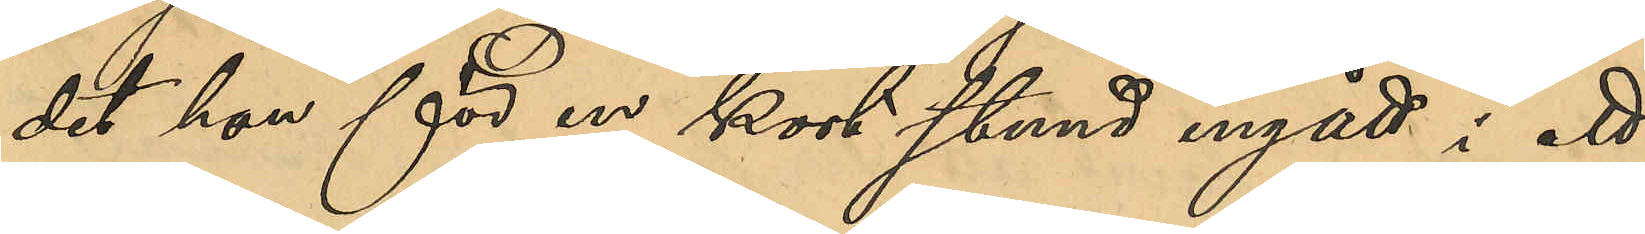det hon för en kort stund ingått i ett
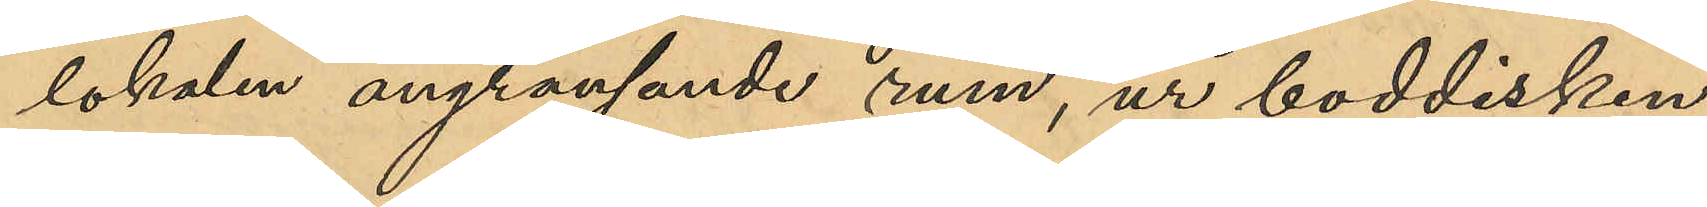lokalen angränsande rum, ur boddisken
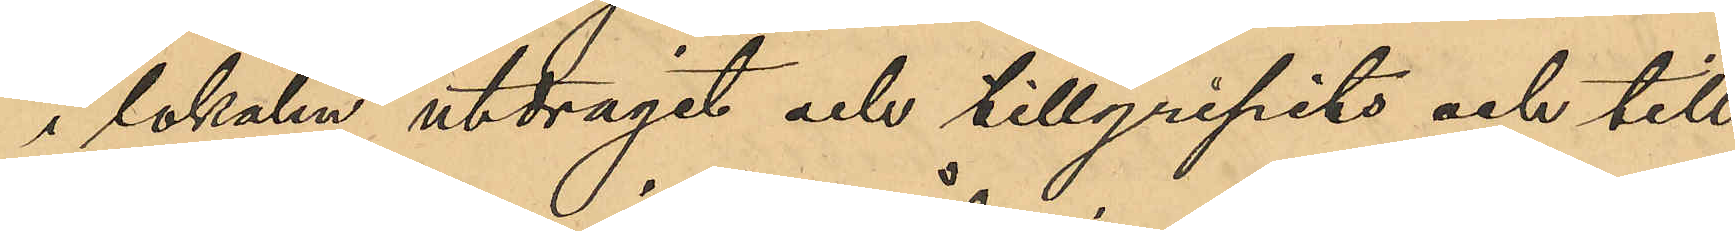i lokalen utdragit och tillgripits och till¬
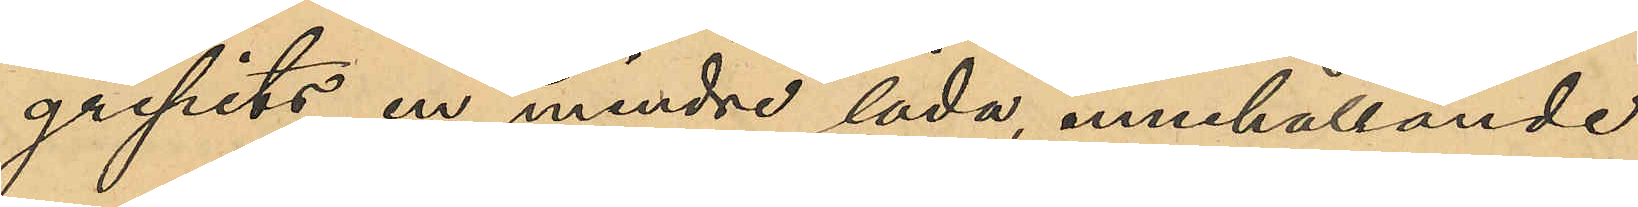gripits en mindre låda innehållande
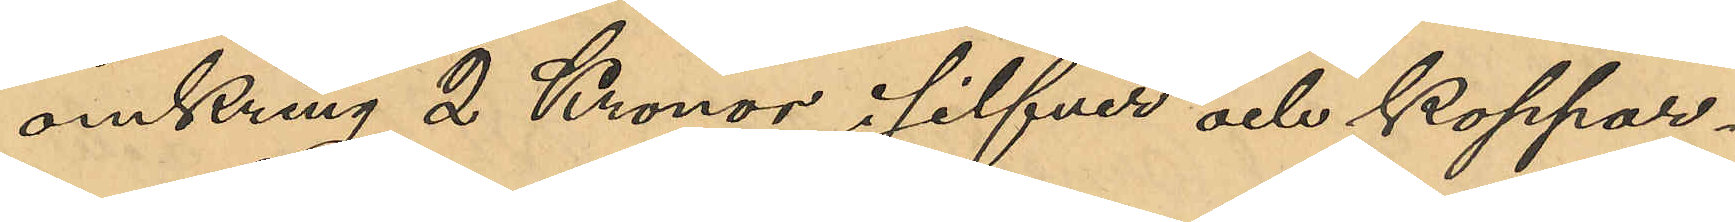omkring 2 Kronor i silfver och koppar¬
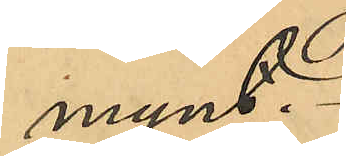mynt.
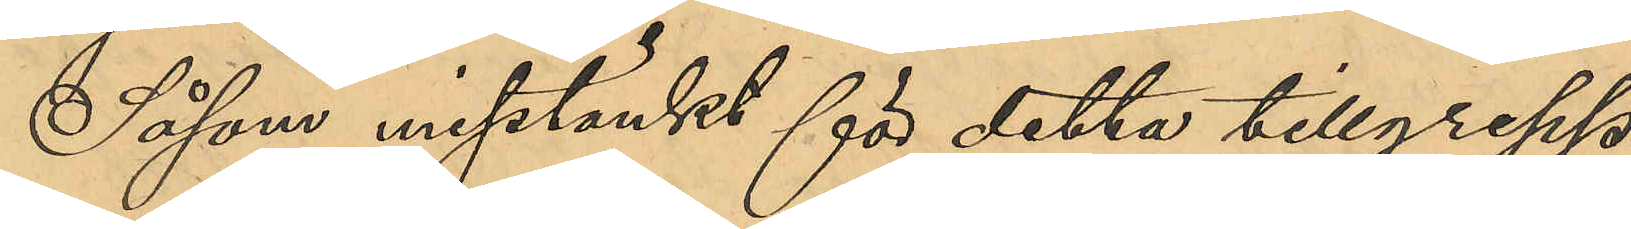Såsom misstänkt för detta tillgrepp
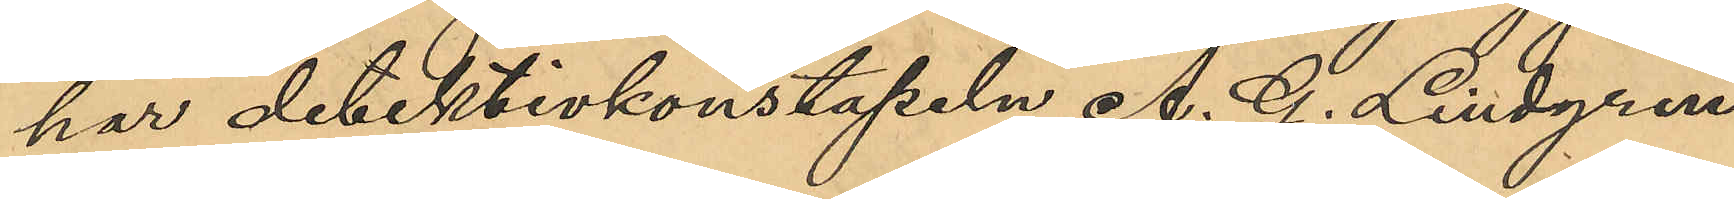har detektivkonstapeln A. G. Lindgren
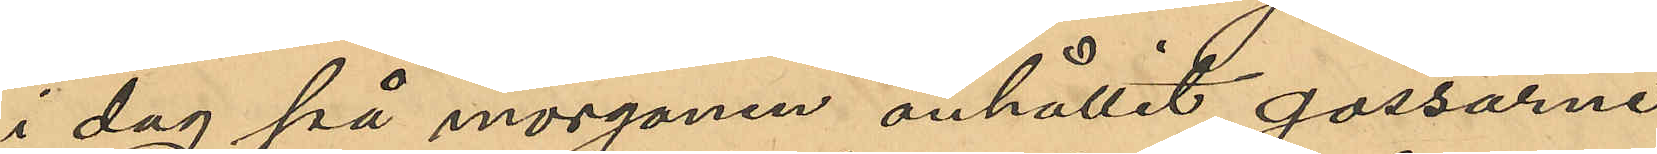i dag på morgonen anhållit gossarne
